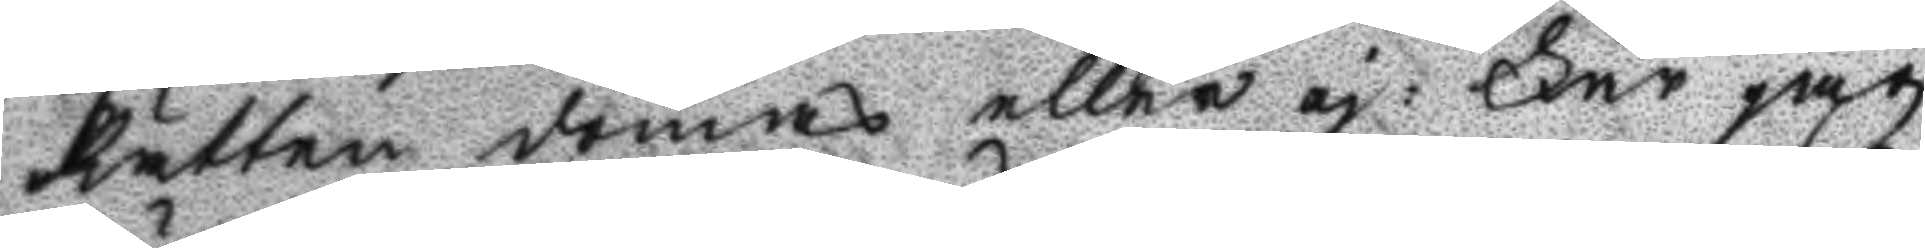Rätten dömas eller ej: Får jag
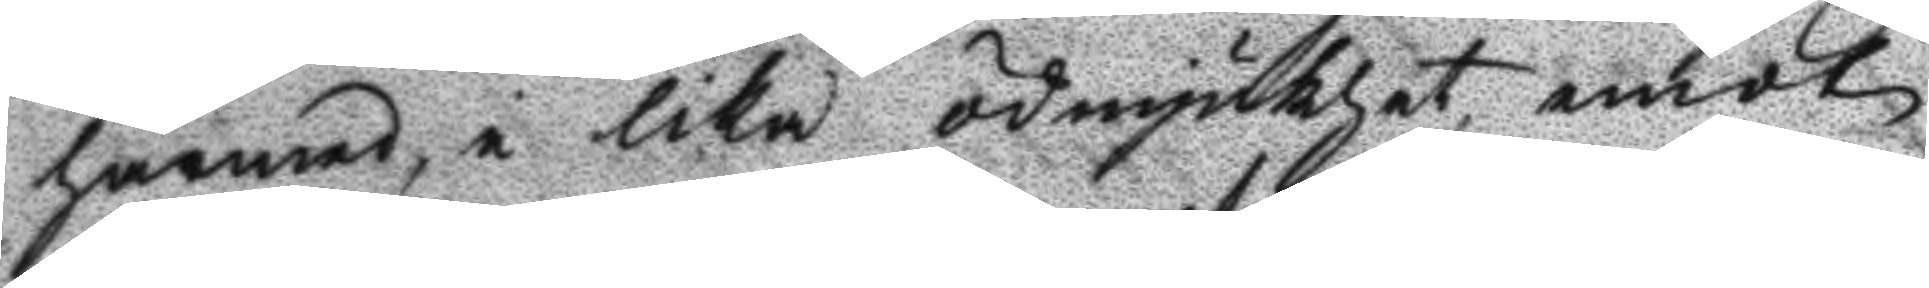härmed i lika ödmjukhet emot
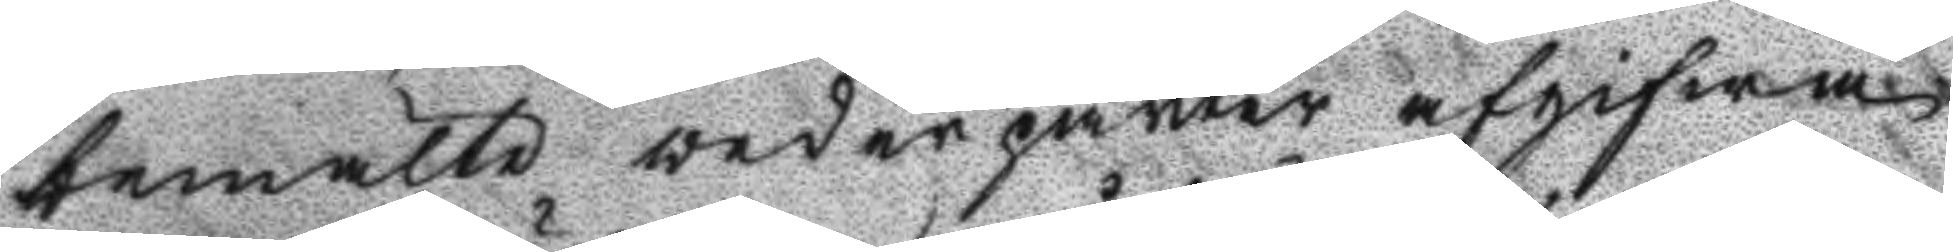bemälte wederparter afgifwa
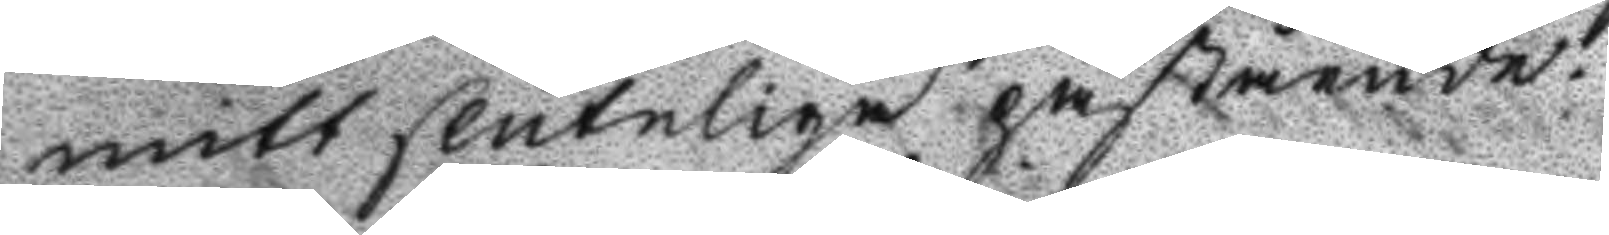mitt sluteliga påstående.
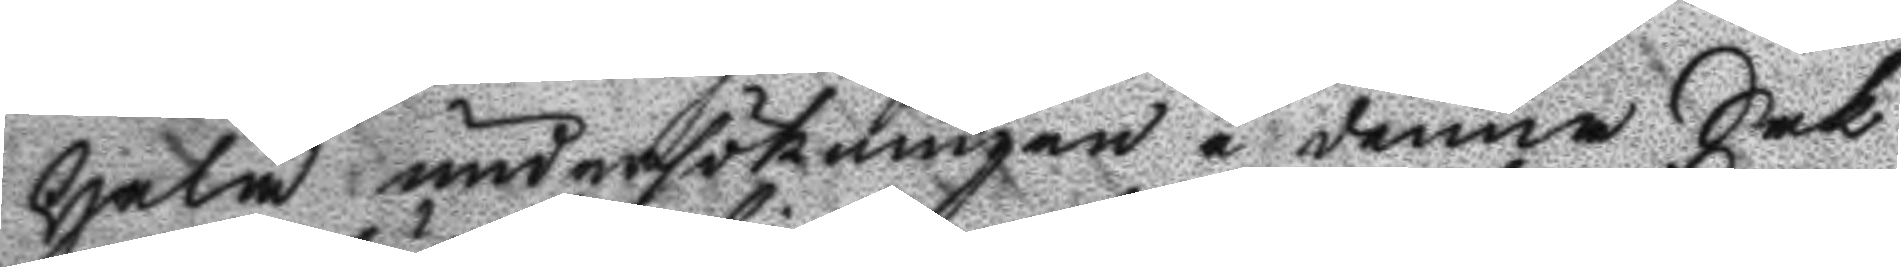Hela undersökningen i denna Sak
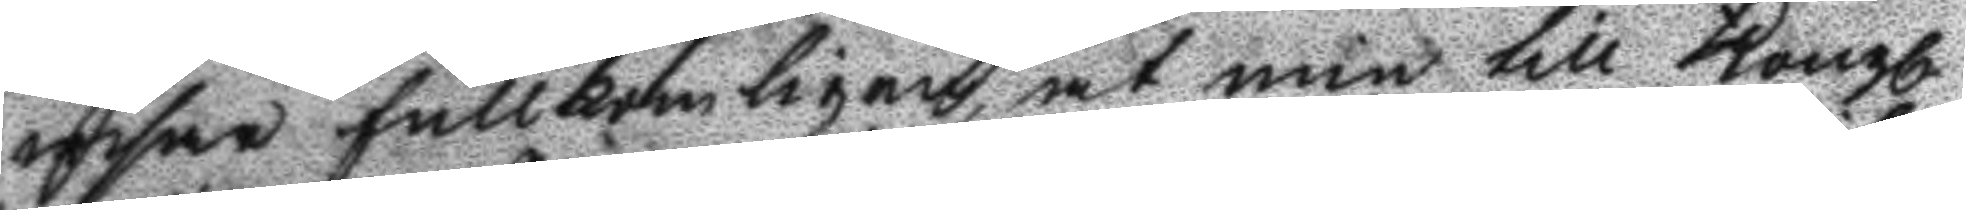gifwa fullkombligen, at min till Kongl.
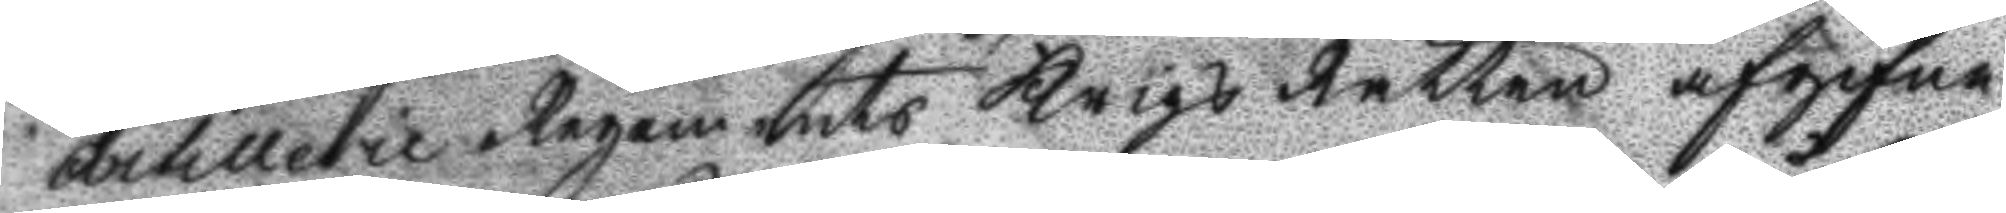Artillerie Regements Krigs Rätten afgifne
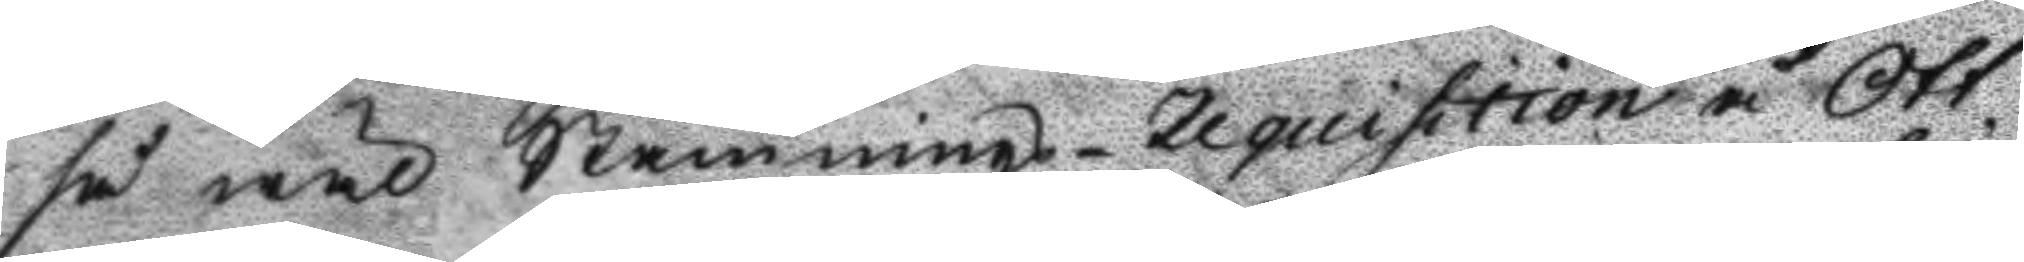så wäl Stämnings- Requisition å Ott¬
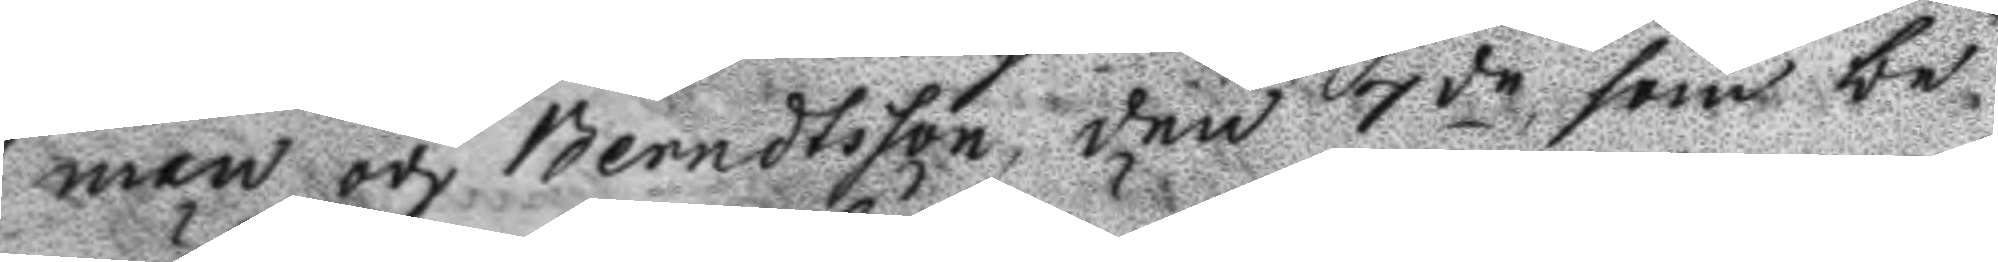man och Berndtson den 7de som be¬
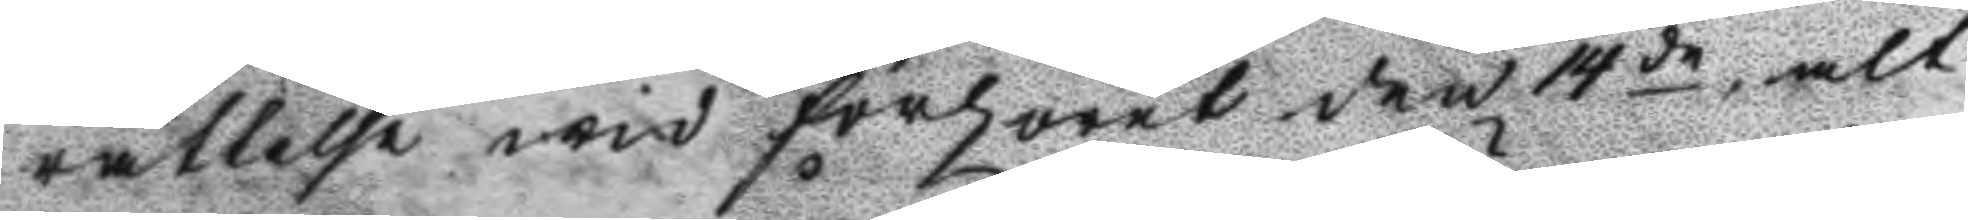rättelse wid förhöret den 14de, alt
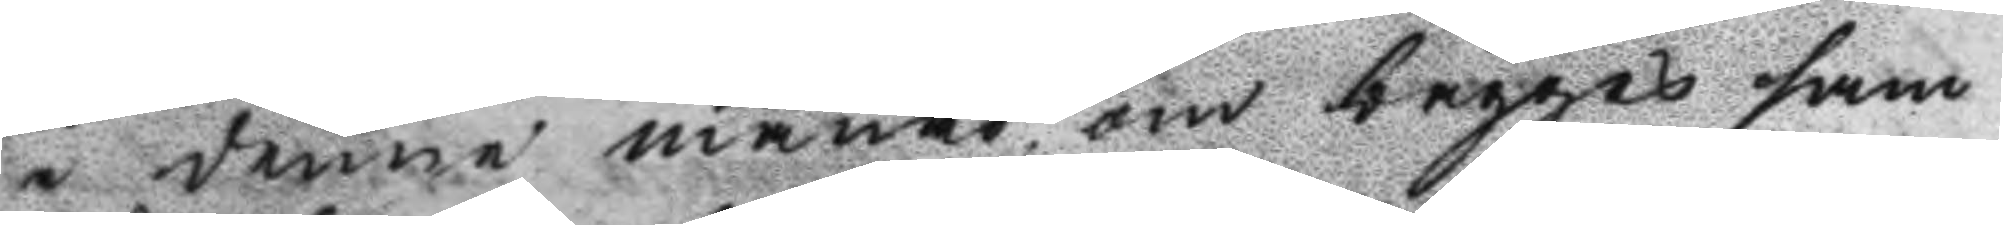i denne månad om bägges sam
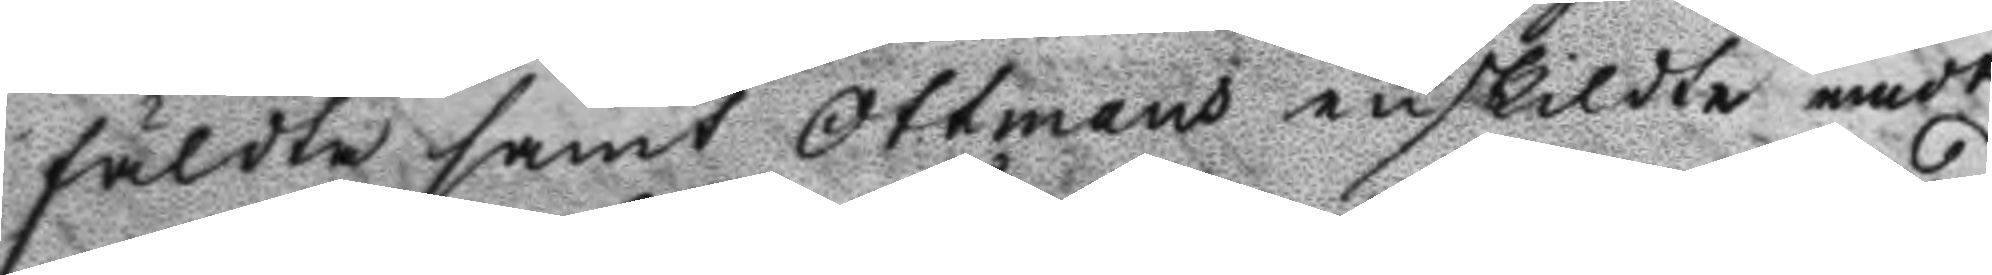fäldta samt Ottmans enskildte emot
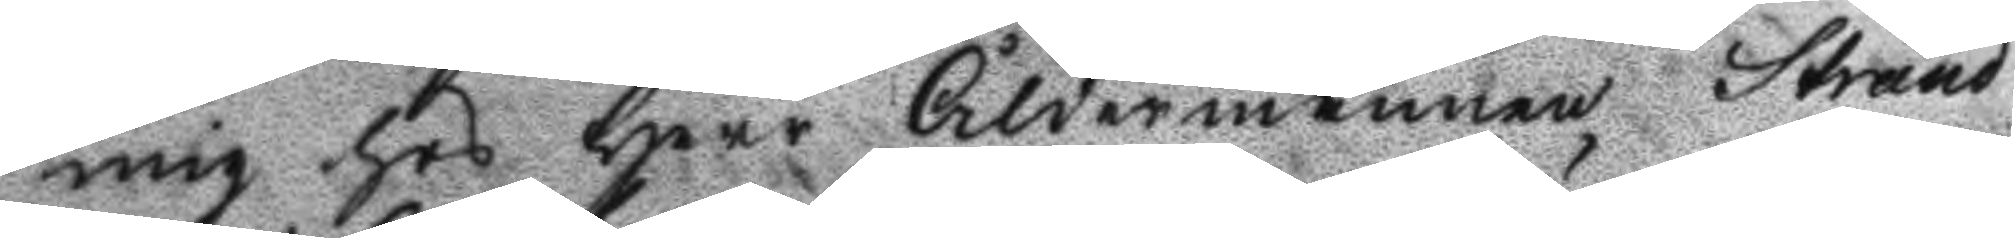mig hos Herr Åldermannen Strand
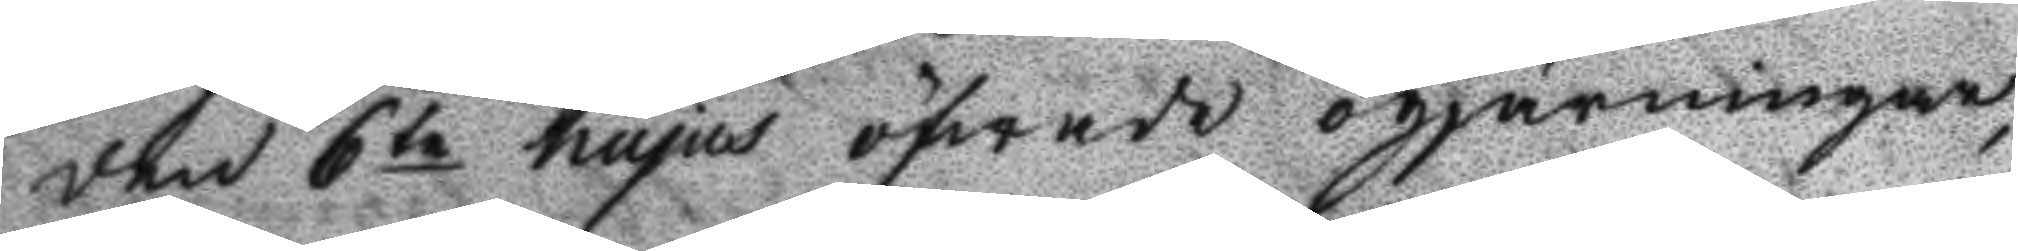den 6te hujus öfwade ogärningar
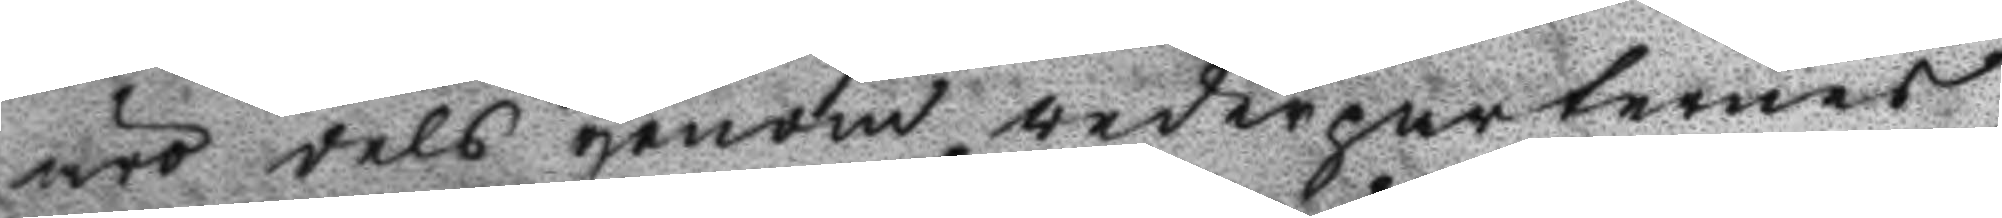äro dels genom vederparternes
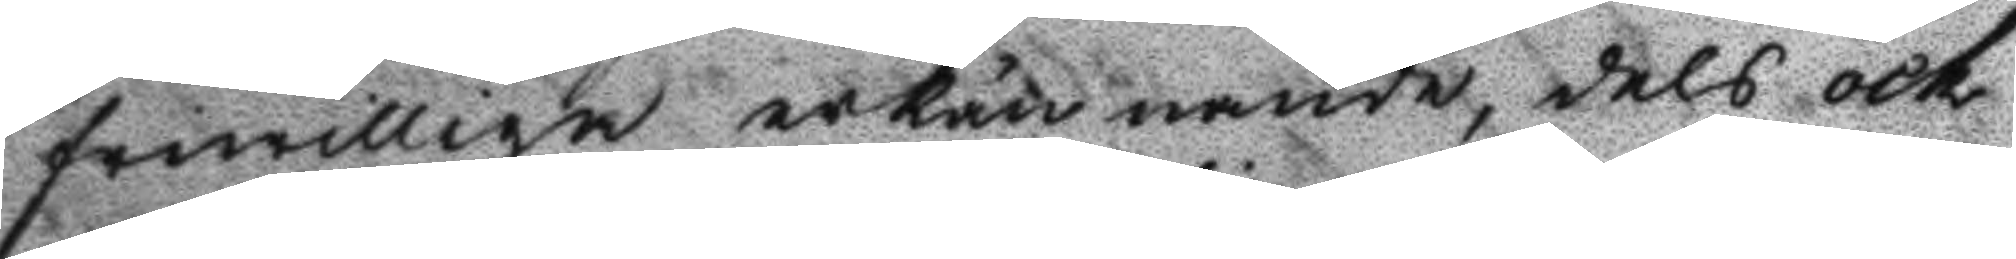friwilliga erkännande, dels ock
